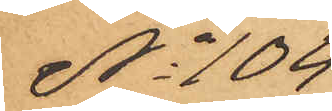No 104
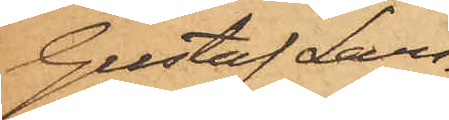Gustaf Lars¬
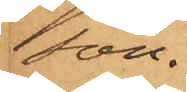son.
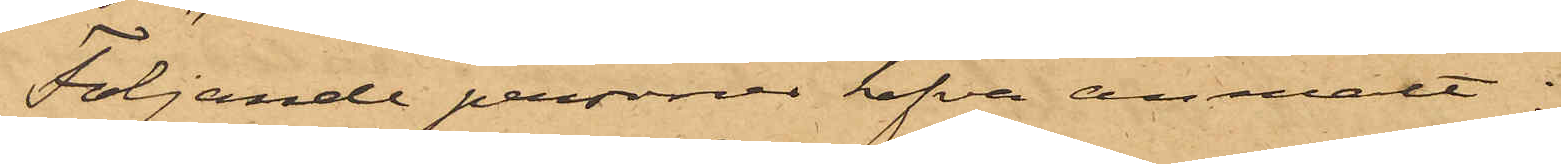Följande personer hafva anmält:
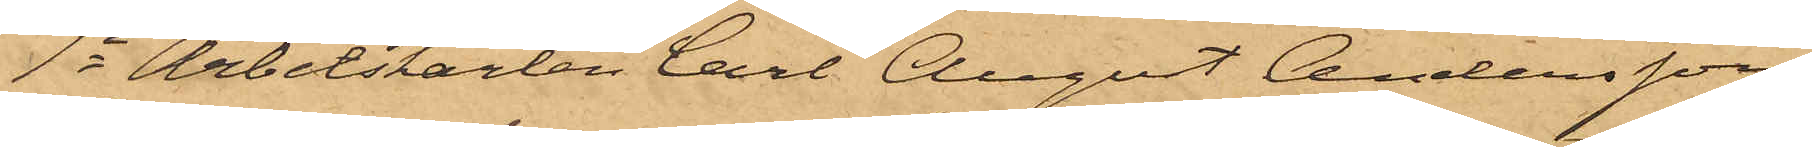1o Arbetskarlen Carl Augut Andersson,
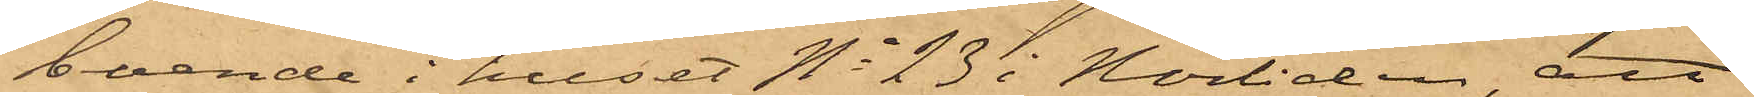boende i huset No 23 i Norliden, att
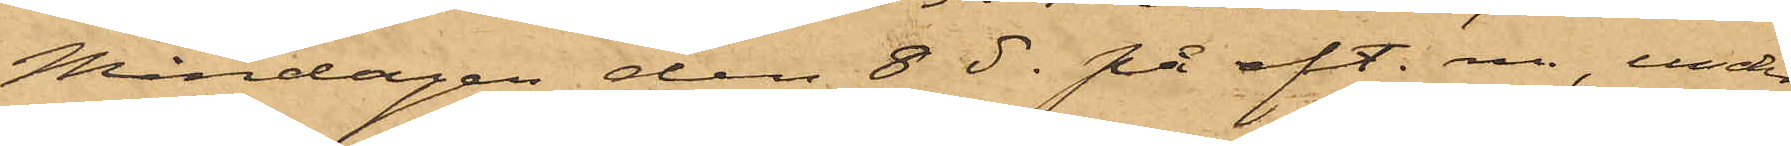Måndagen den 8 ds på eft. m., under
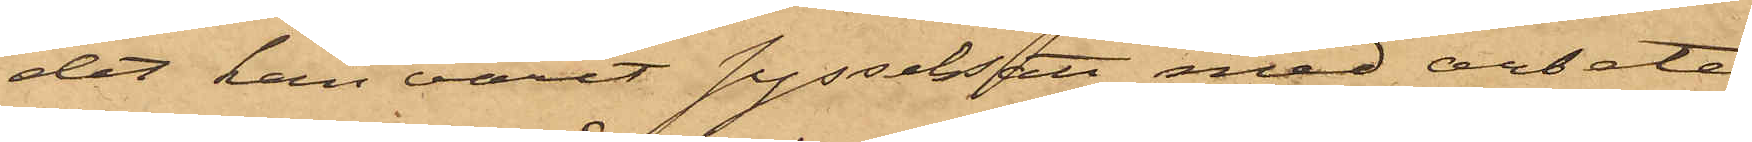det han varit sysselsatt med arbete
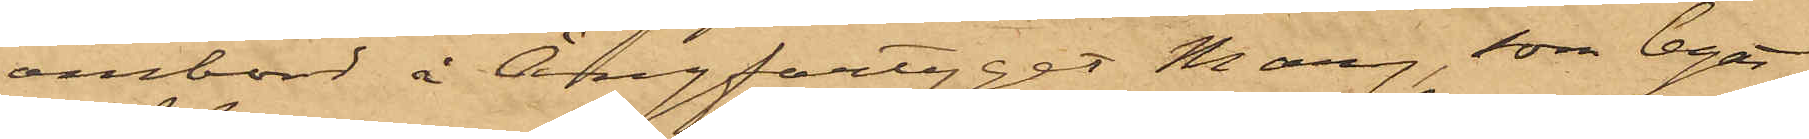ombord å Ångfartyget Mary som legat
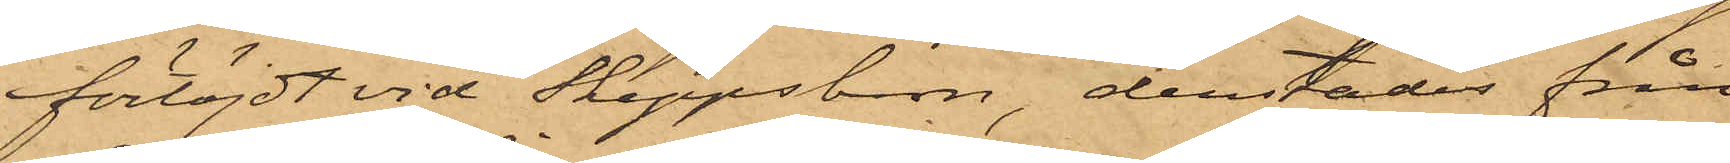förtöjdt vid Skeppsbron, derstädes från
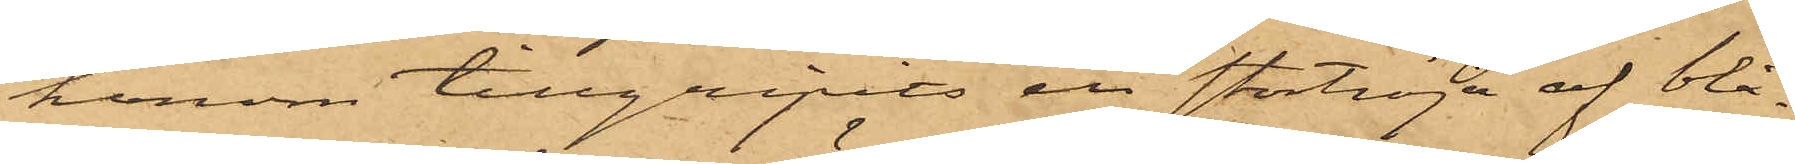honom tillgripits en stortröja af blå
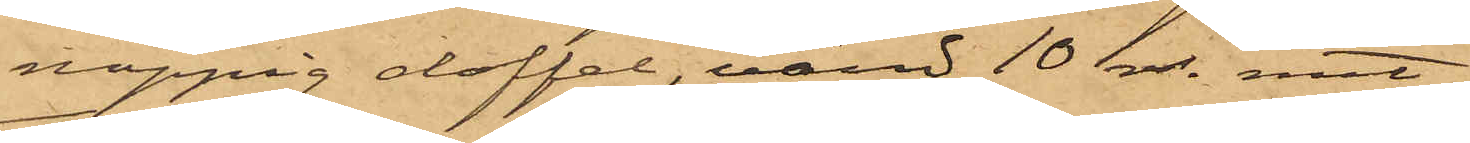noppig doffel, värid 10 rdr. samt;
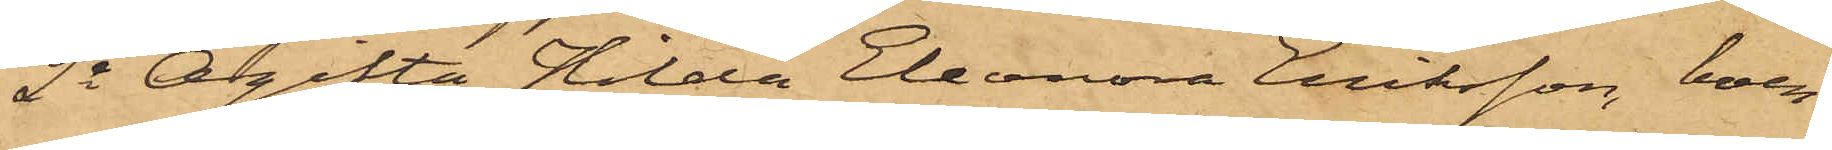2o Ogifta Hilda Elenora Eriksson, boen¬
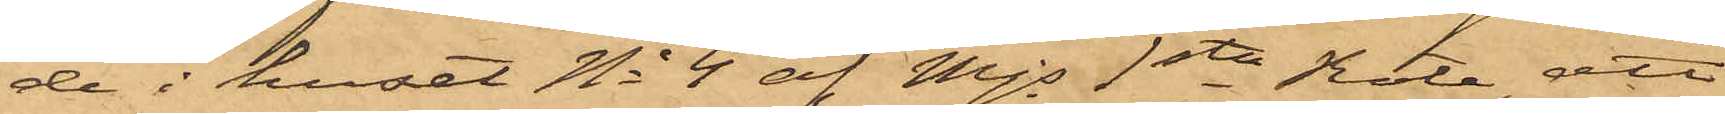de i huset No 4 af Mjs 1sta Rote, att
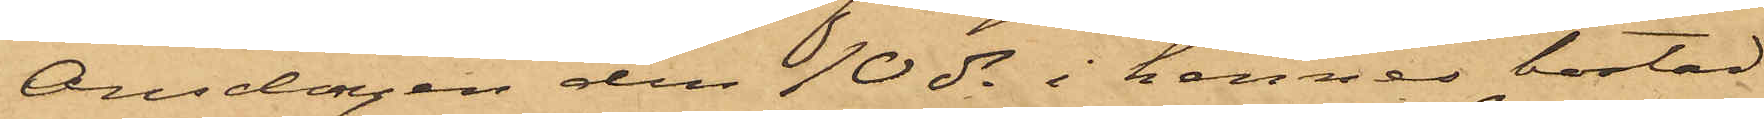Onsdagen den 10 ds i hennes bostad
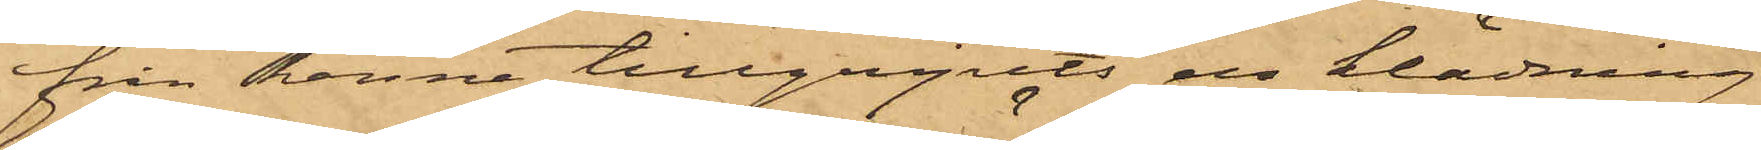från henne tillgripits en klädning
